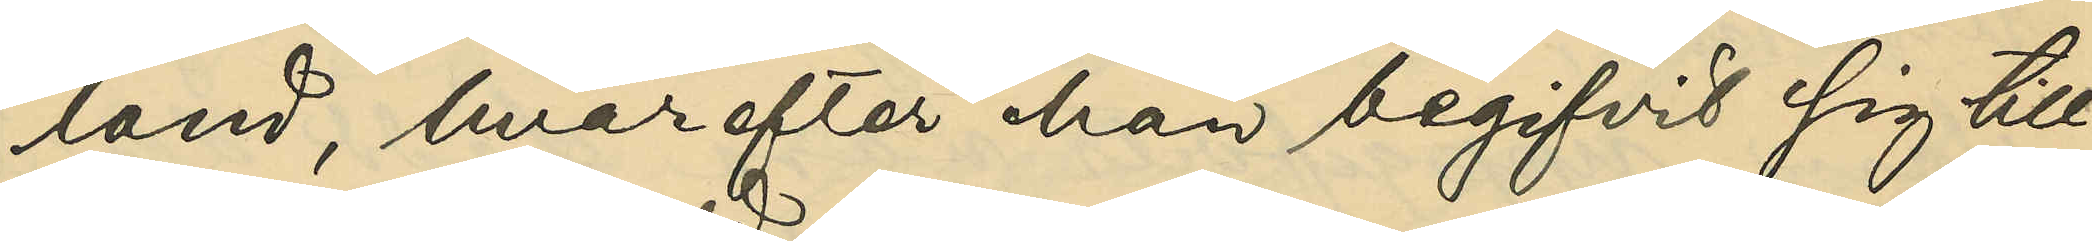land, hvarefter han begifvit sig till
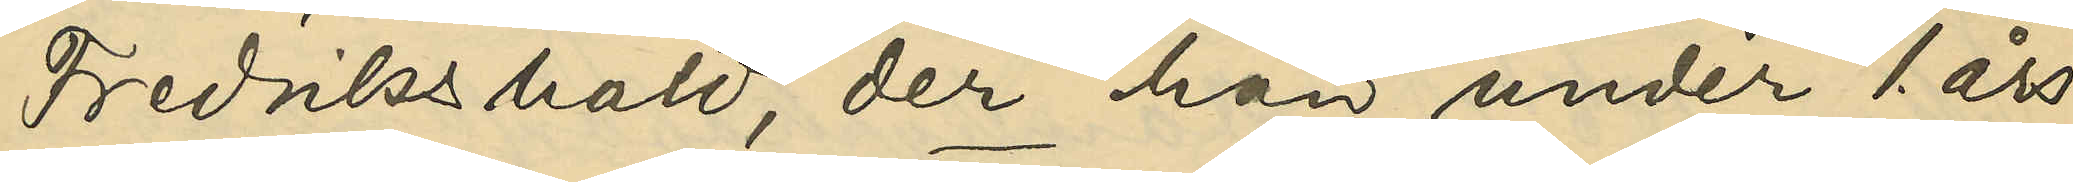Fredrikshald, der han under 1. års
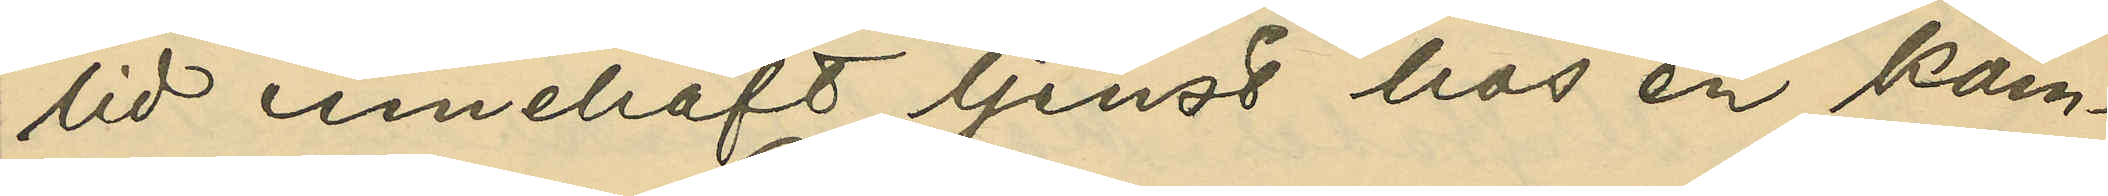tid innehaft tjenst hos en kam¬
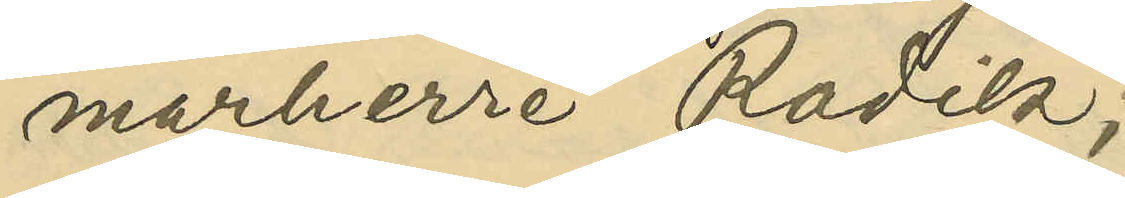marherre Radik;
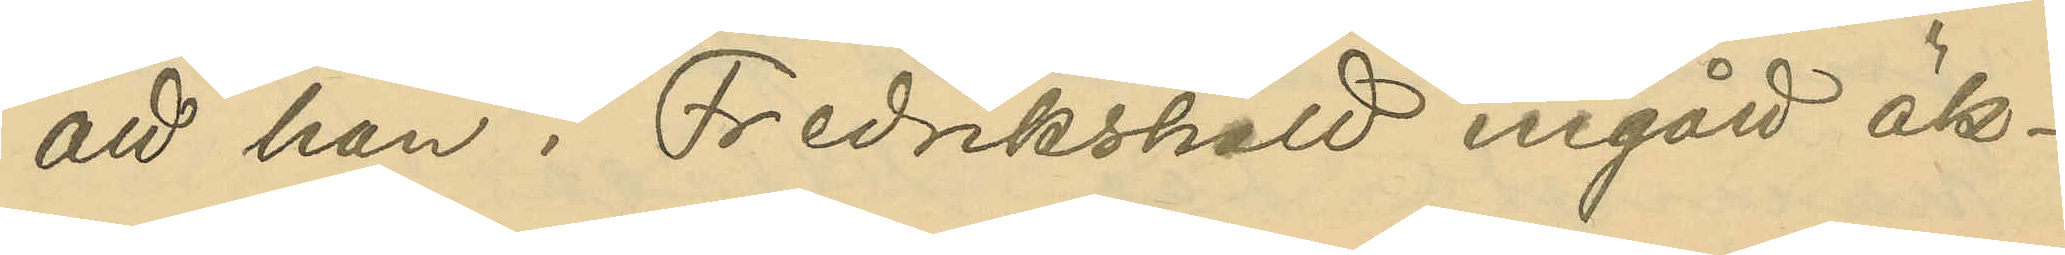att han i Fredrikshald ingått äk¬
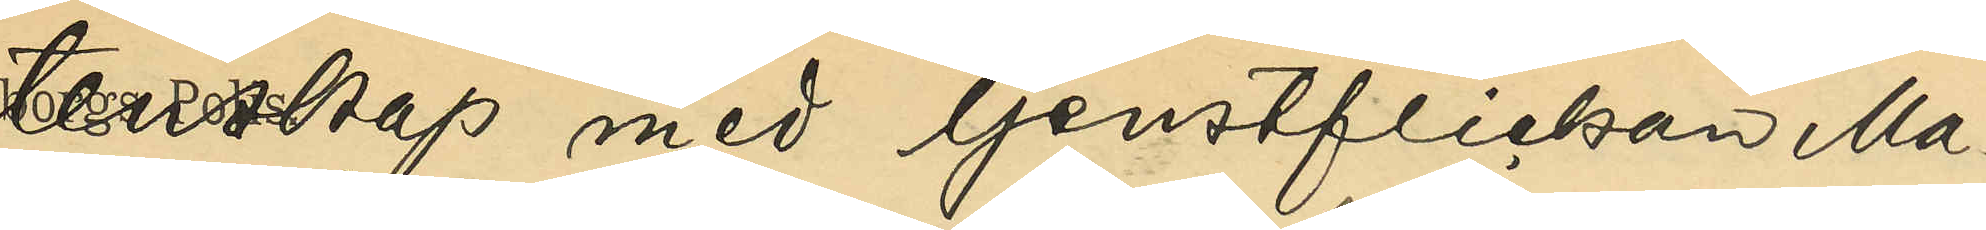tenskap med tjensteflickan Ma¬
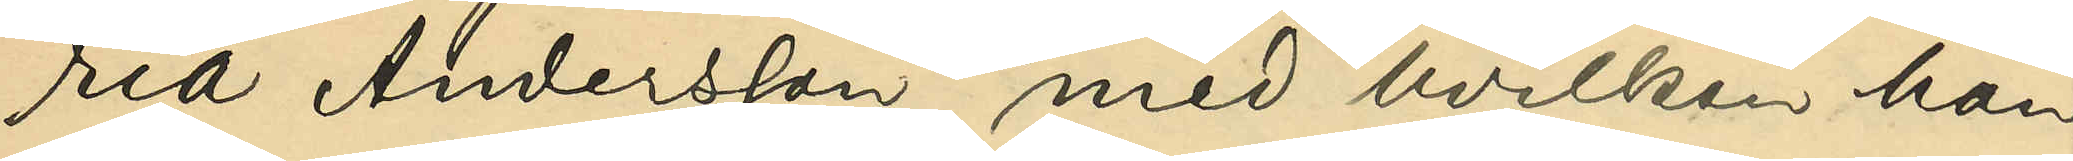ria Andersson, med hvilken han
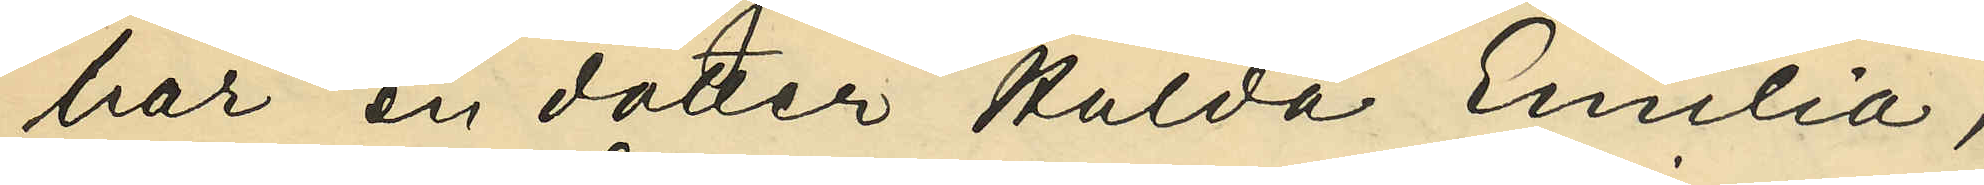har en dotter Hulda Emilia,
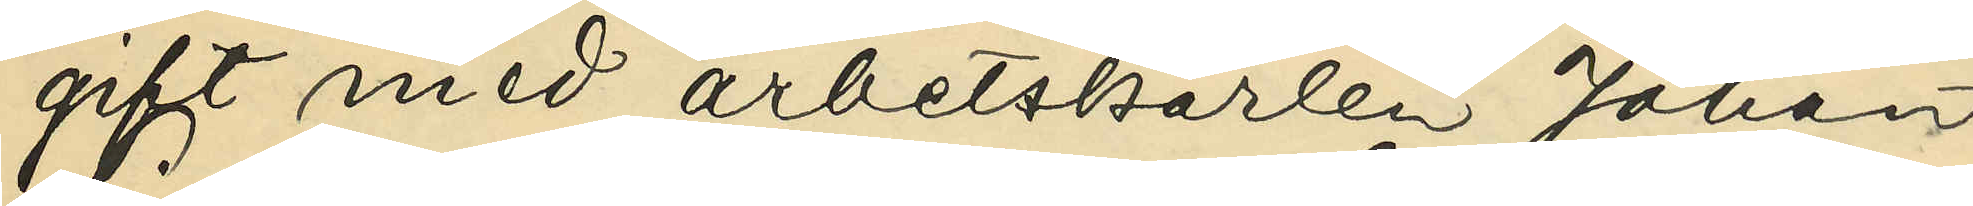gift med arbetskarlen Johan 
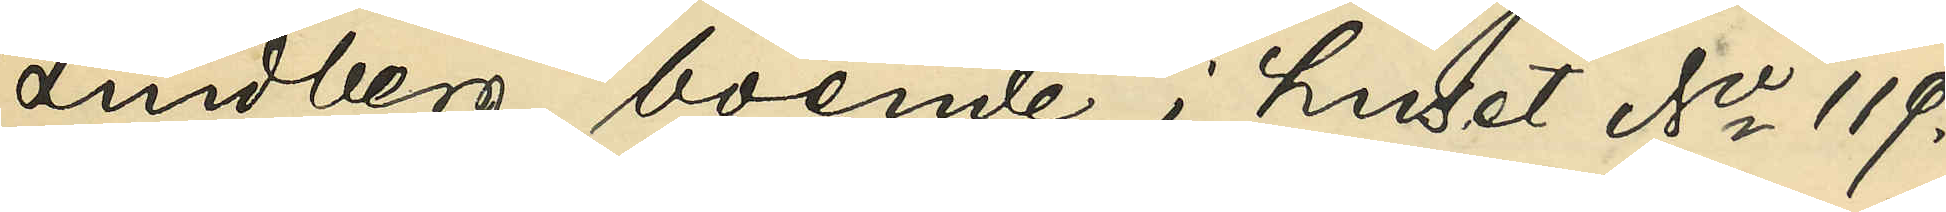Lindberg, boende i huset No 119.
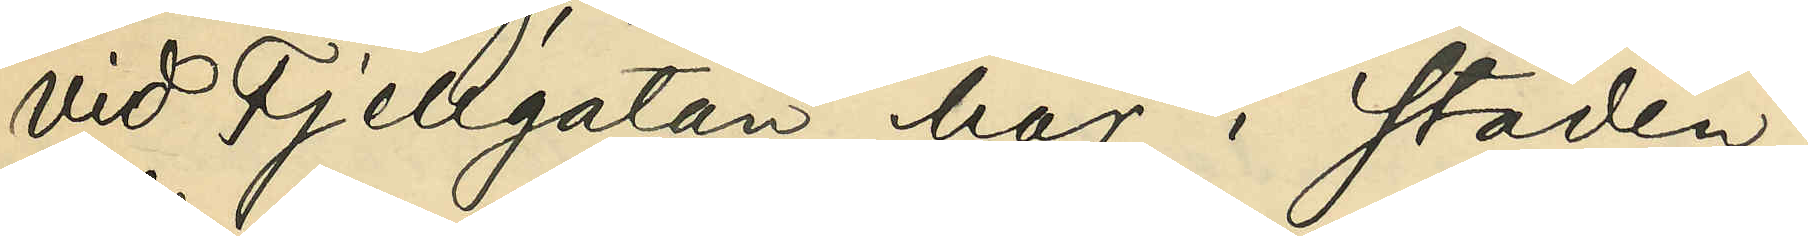vid Fjellgatan här i staden;
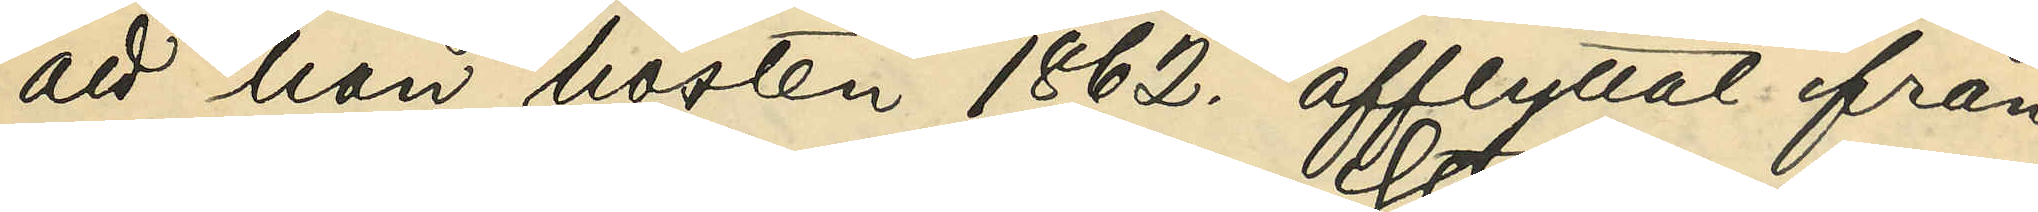att han hösten 1862. afflyttat från
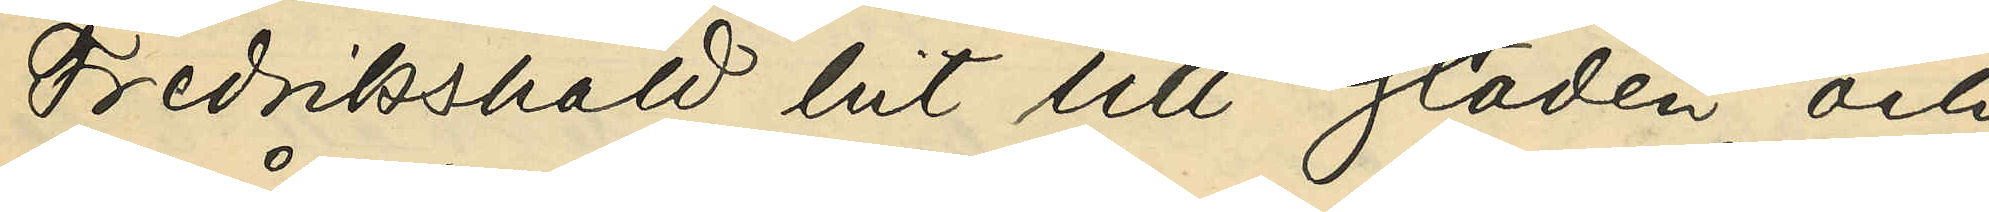Fredrikshald hit till staden och
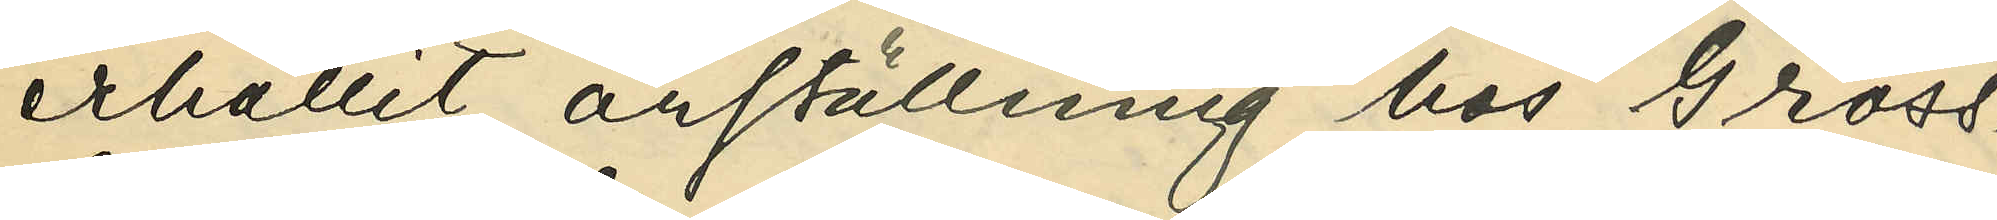erhållit anställning hos Gross¬
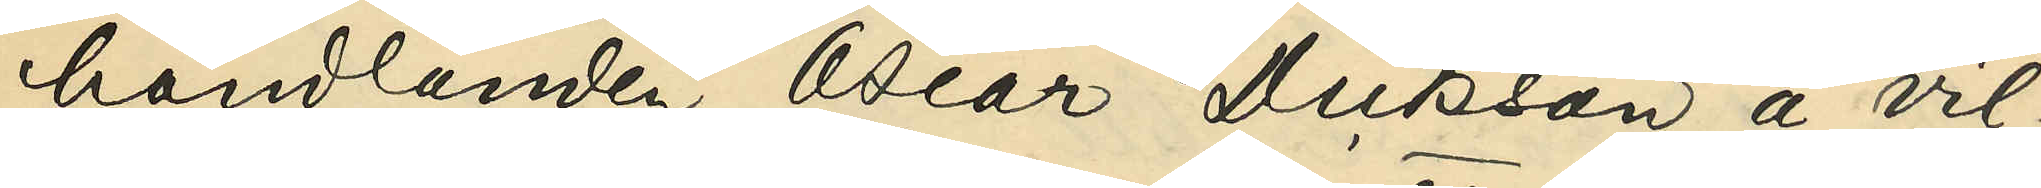handlanden Oscar Dickson å vil¬
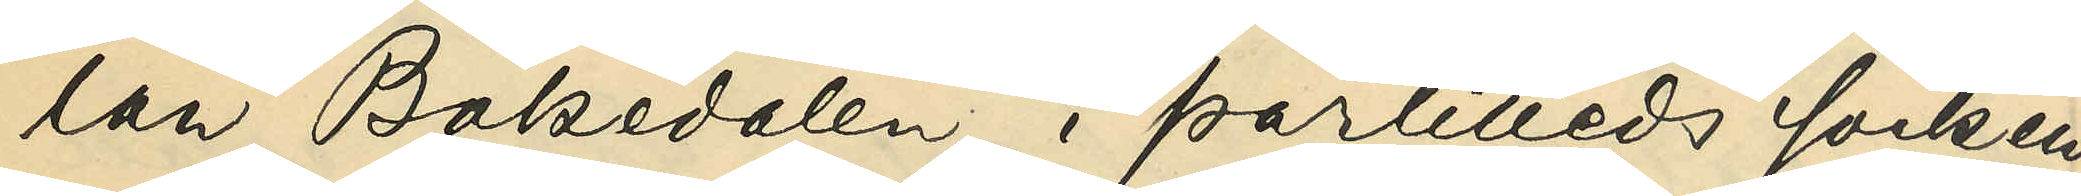lan Bakedalen i Partilleds socken
